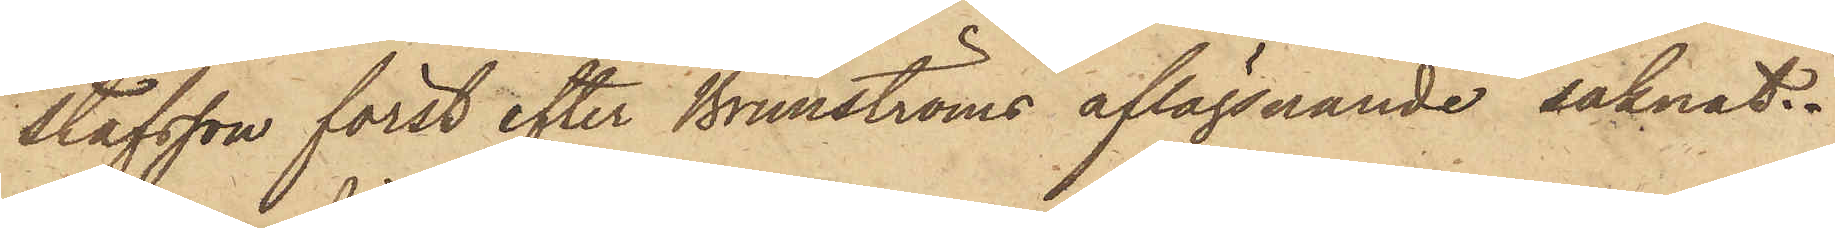stafsson först efter Brunströms aflägsnande saknat.
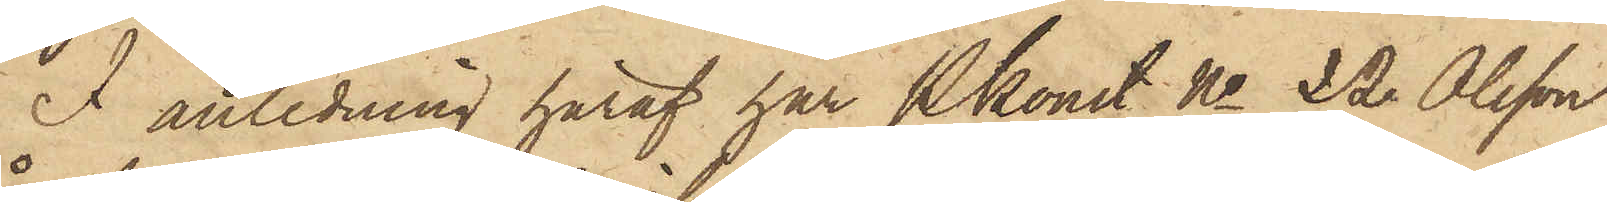I anledning häraf har Pkonst. No 22 Olsson
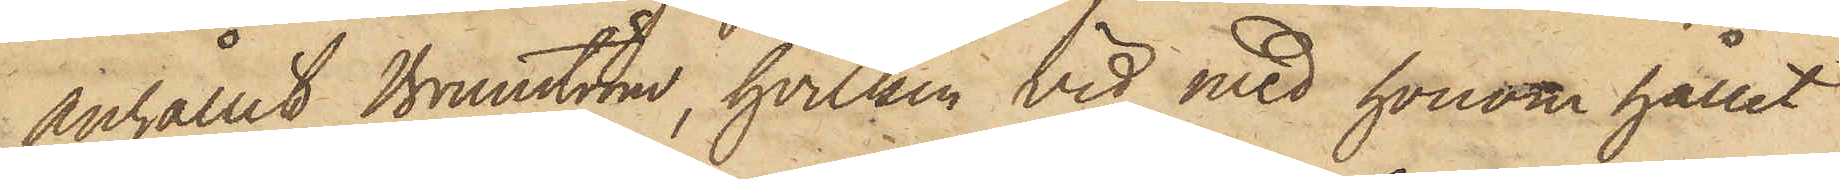anhållit Brunström, hvilken vid med honom hållet
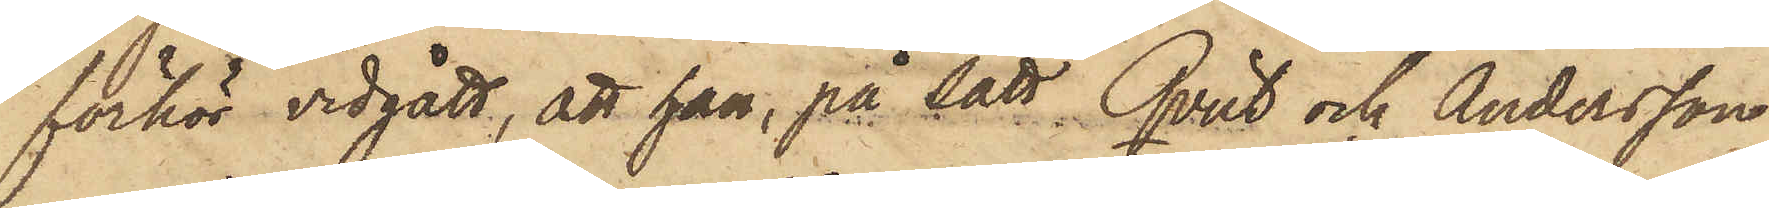förhör vidgått, att han, på sätt Qvist och Andersson
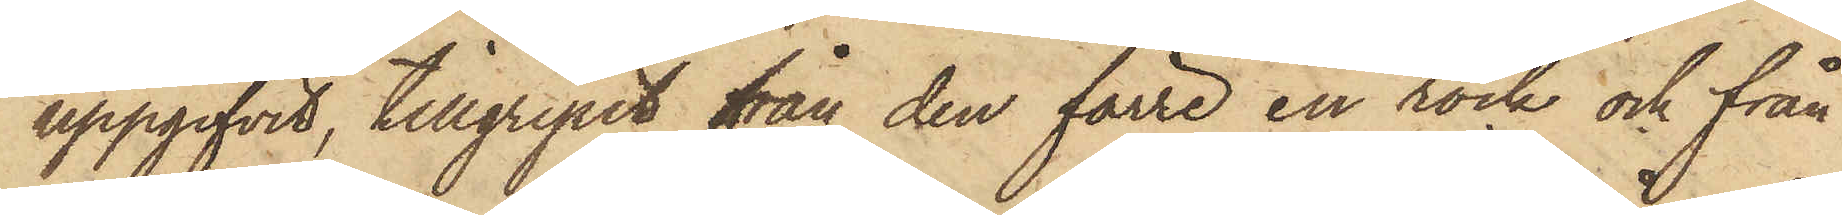uppgifvit, tillgripit från den förre en rock och från
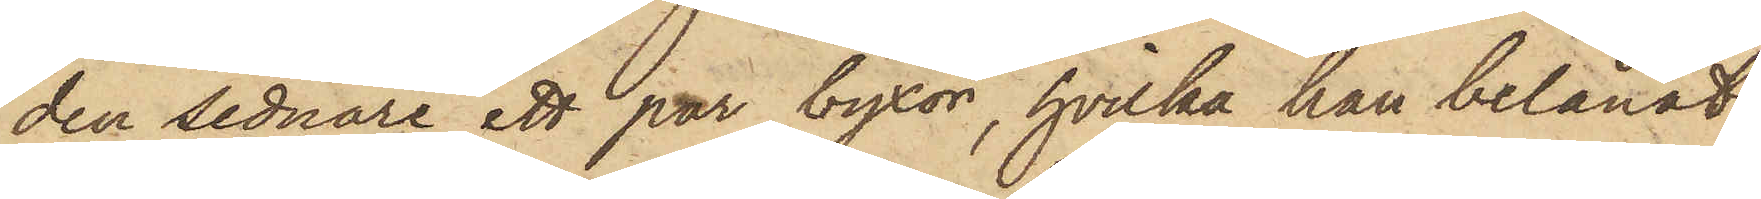den sednare ett par byxor, hvilka han belånat
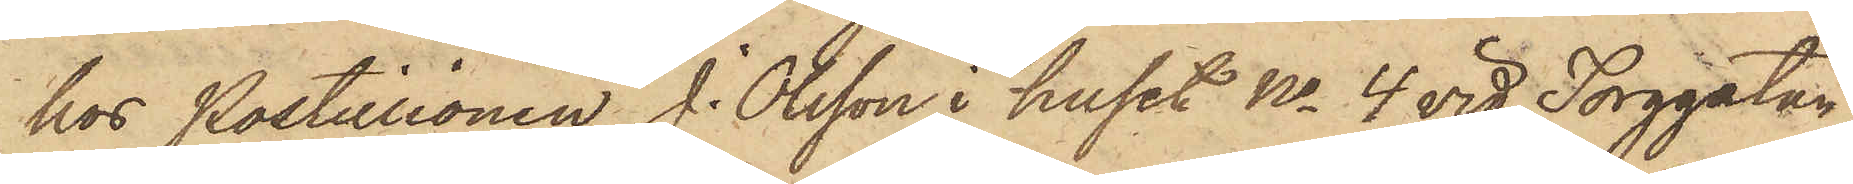hos Postillionen J. Olsson i huset No 4 vid Torggatan,
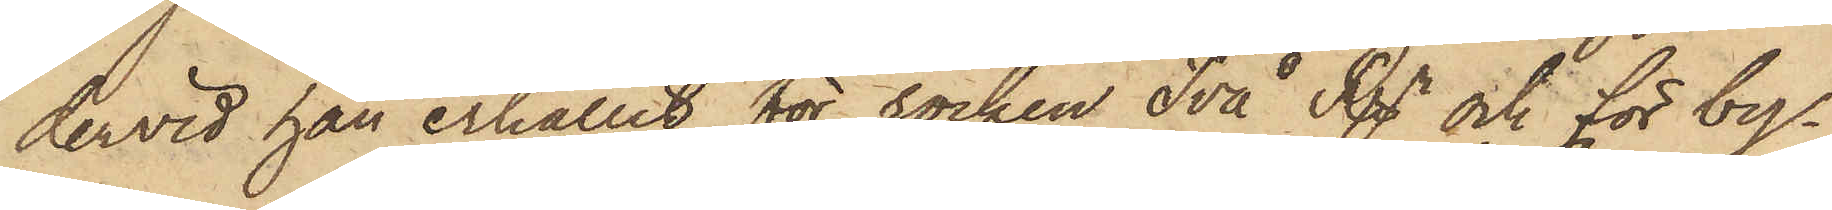dervid han erhållit för rocken Två Rgr och för by¬
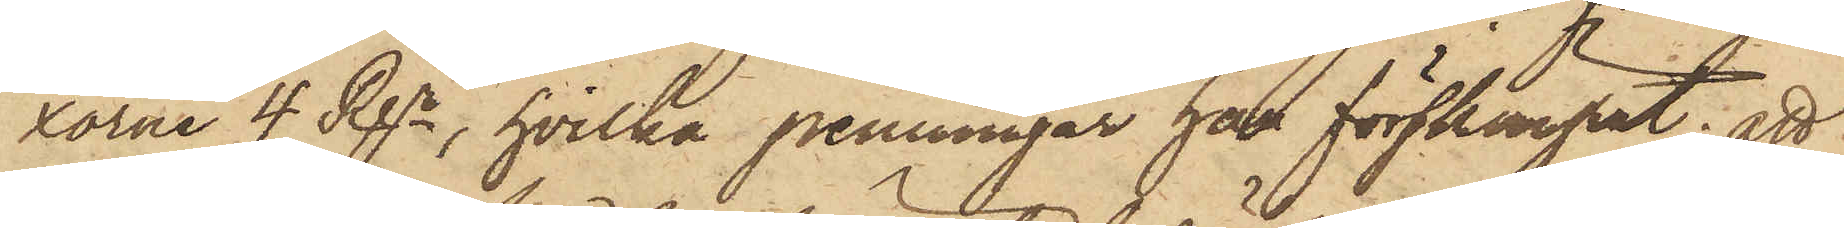xorne 4 Rgr, hvilka penningar han förskingrat; att
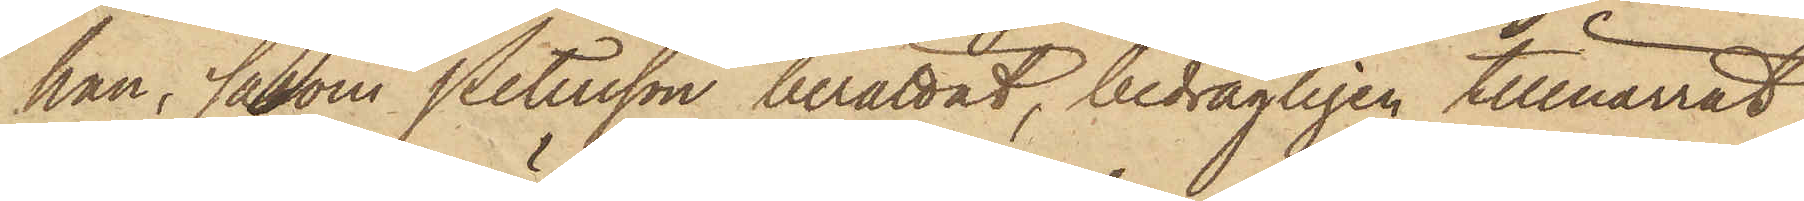han, såsom Petersson berättat, bedrägligen tillnarrat
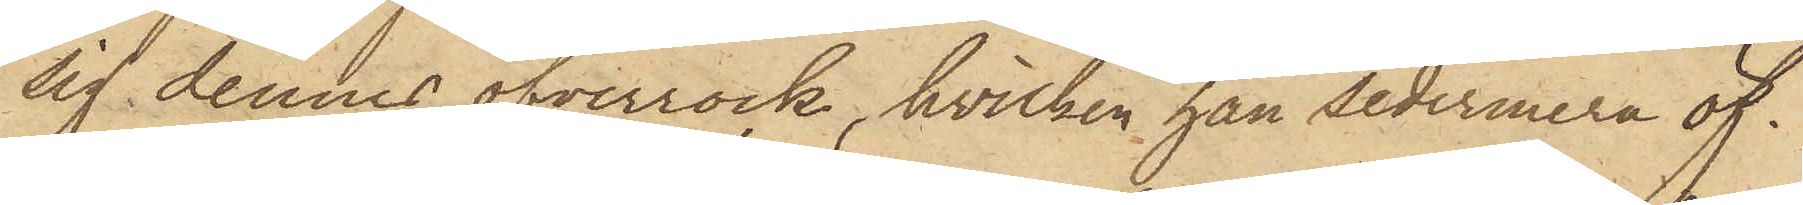sig dennes öfverrock, hvilken han sedermera öf¬
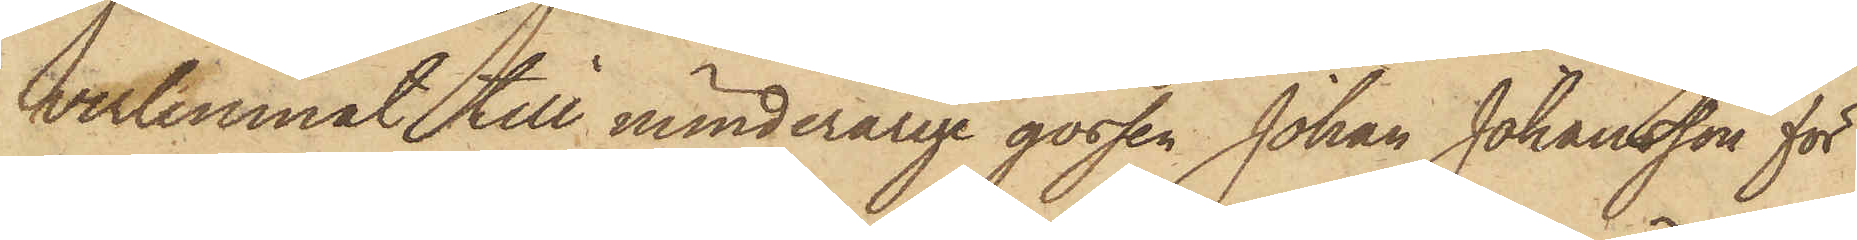verlemnat till minderårige gossen Johan Johansson för
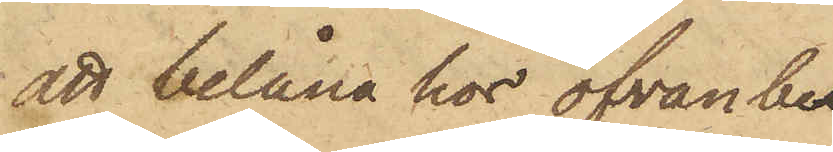att belåna hos ofvanbe¬
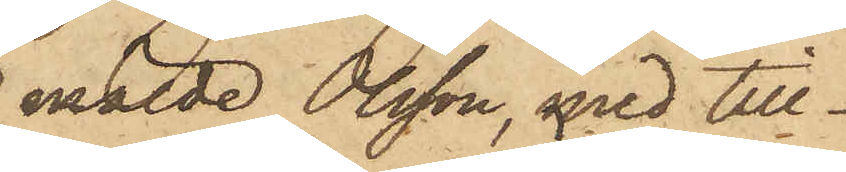mälde Olsson, med till¬
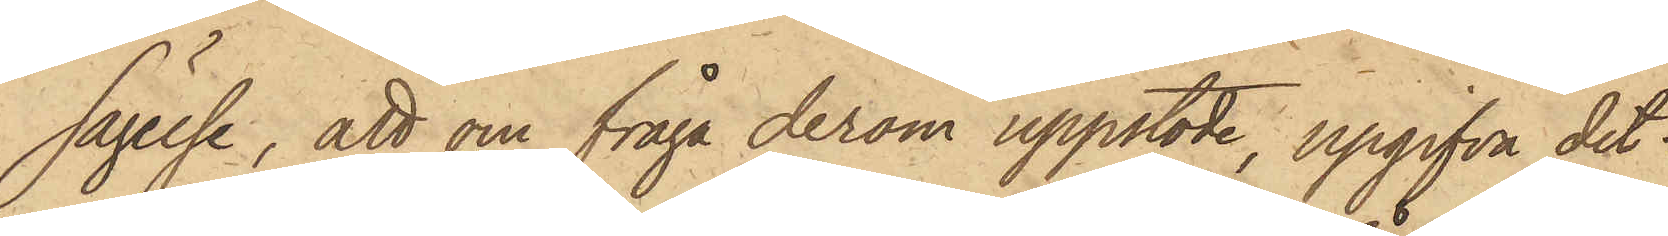sägelse, att om fråga derom uppstode, upgifva det
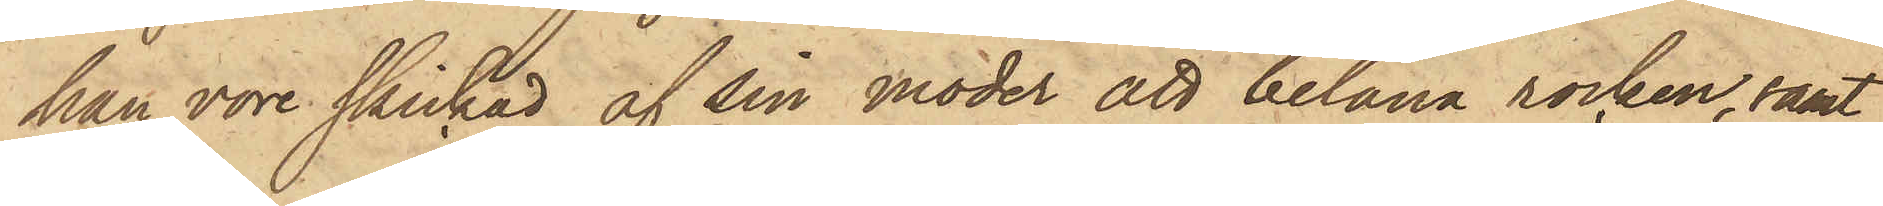han vore skickad af sin moder att belåna rocken, samt
